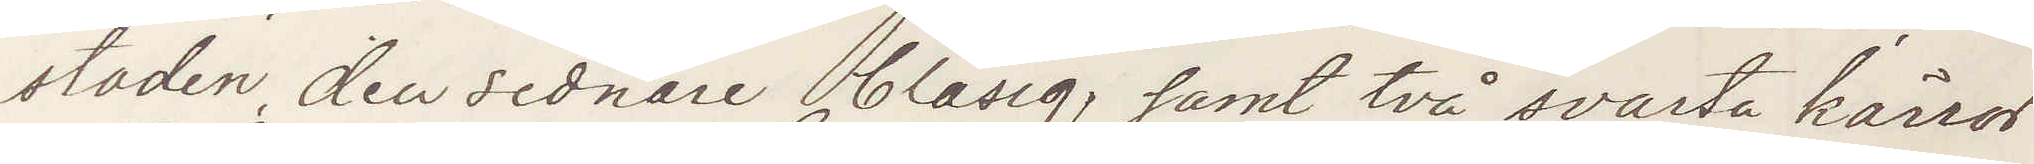staden, den sednare bläsig, samt två svarta kärror
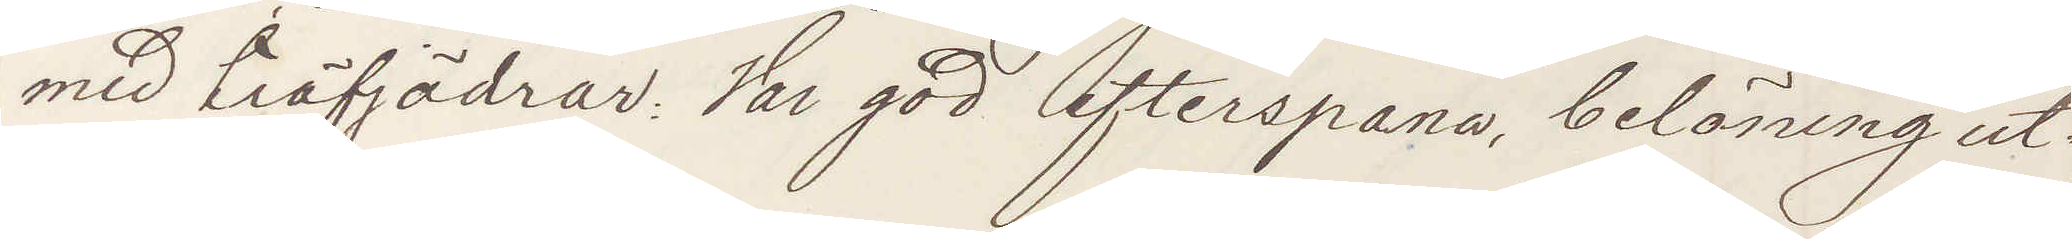med träfjädrar: Var god efterspana, belöning ut¬
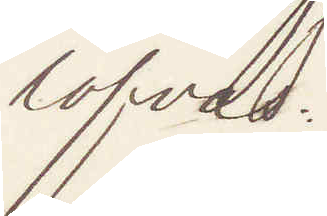lofvas.
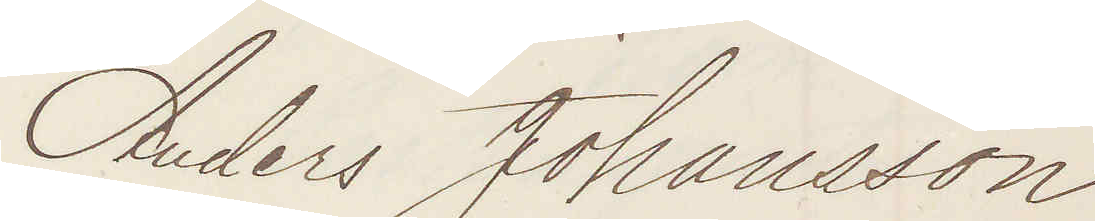Anders Johansson
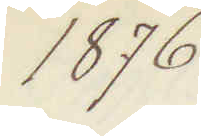1876.
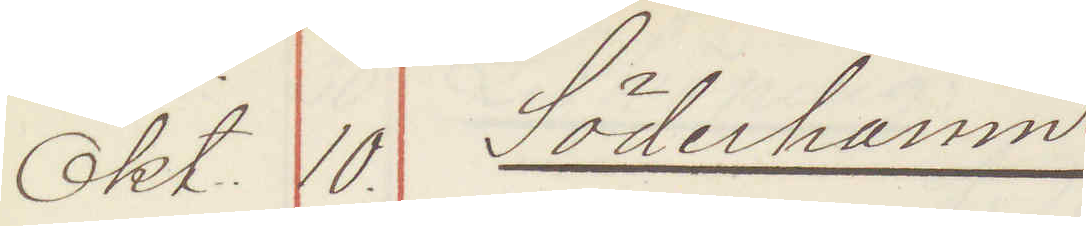Okt. 10. Söderhamn.
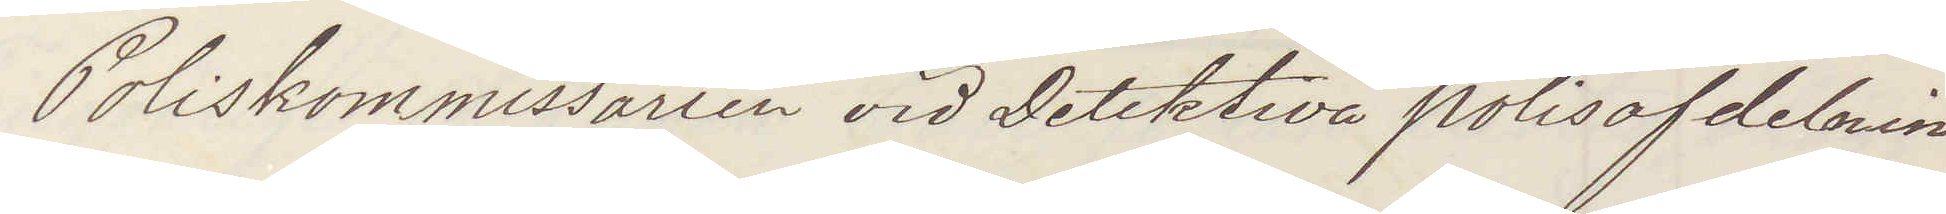Poliskommissarien vid Detektiva Polisafdelnin¬
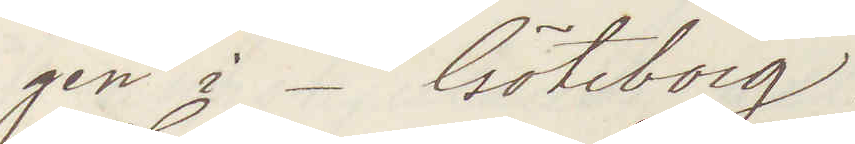gen i Göteborg:
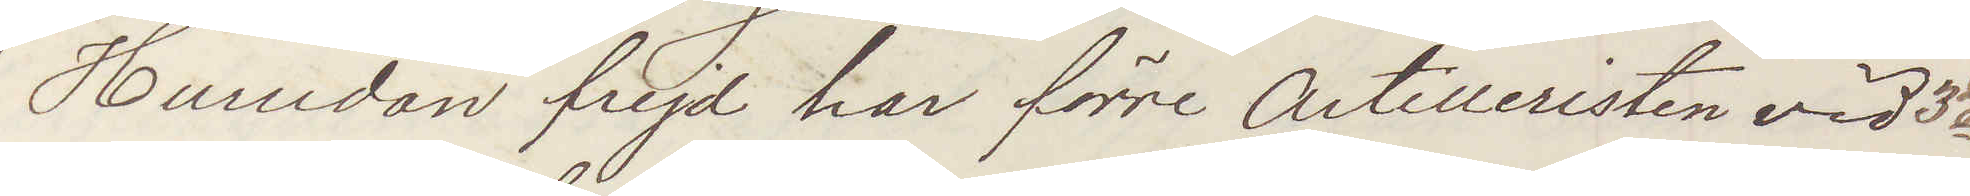Hurudan frejd har förre Artilleristen vid 3dje
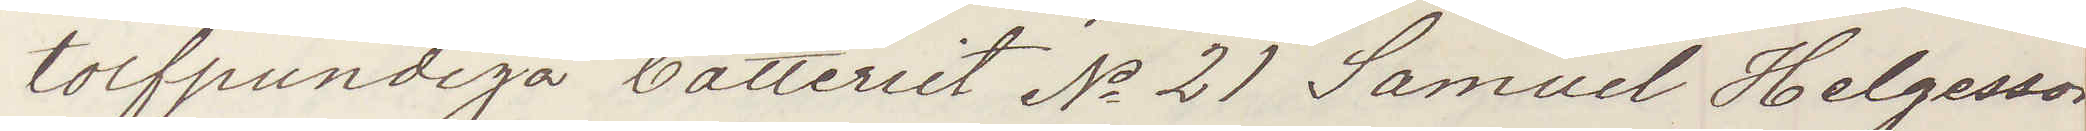tolfpundiga batteriet No 21 Samuel Helgesson
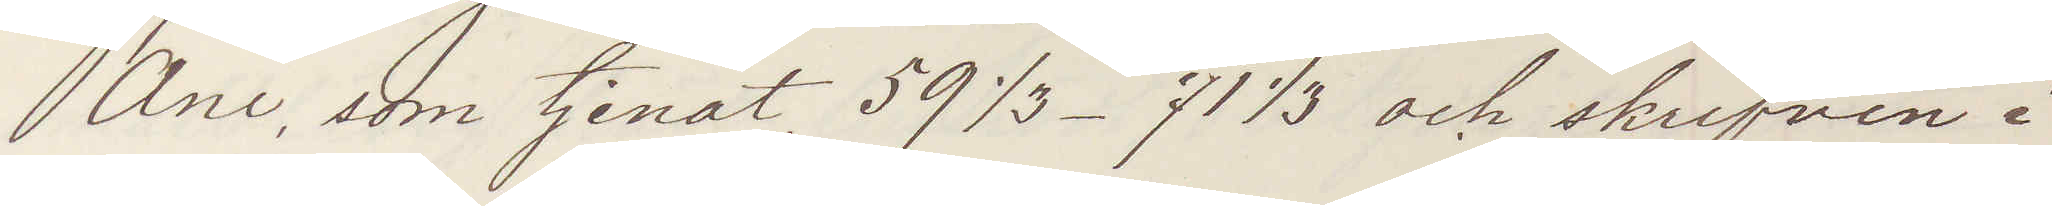Ane, som tjenat 59 1/3 - 71 1/3 och skrifven i
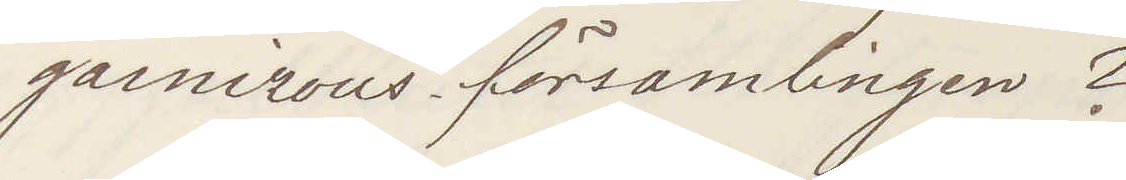garnisons-församlingen?
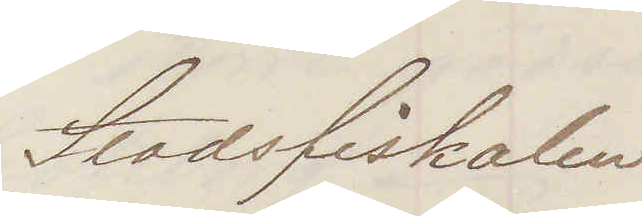Stadsfiskalen
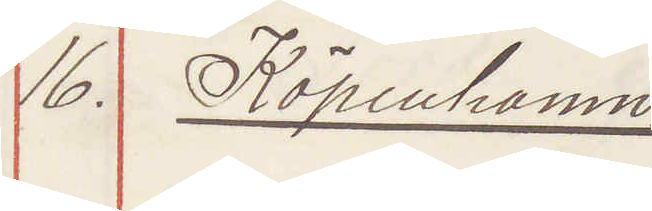16. Köpenhamn
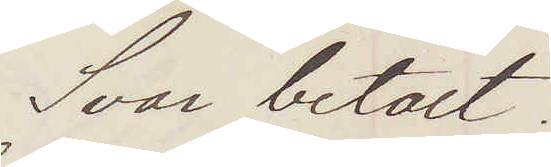Svar betalt!
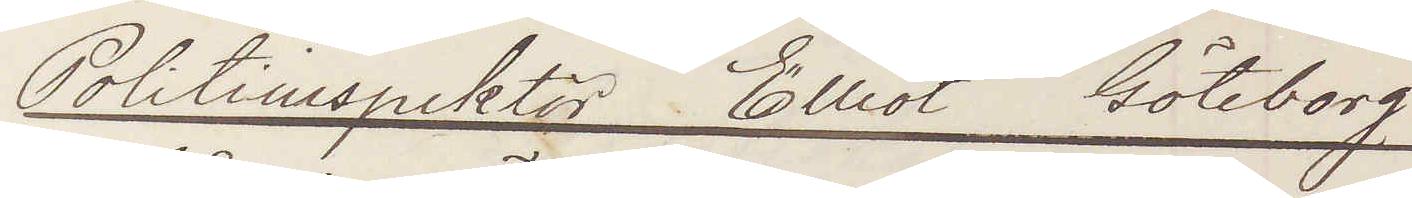Polisinspektör Elliot Göteborg
